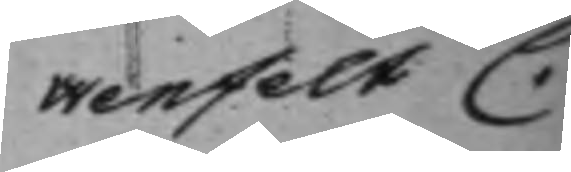wenfelt C.
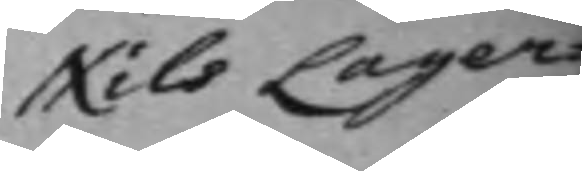Nils Lager¬
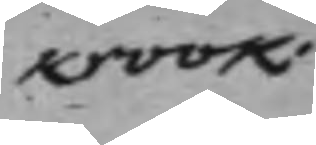krook.
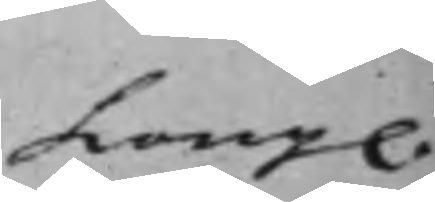Kong.
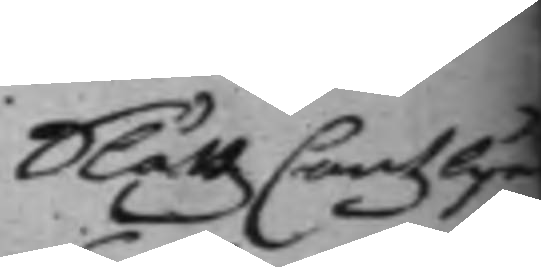Slåttz Cantzlije
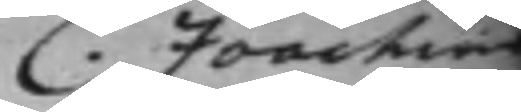C. Joachim
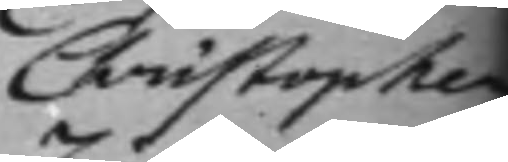Christopher
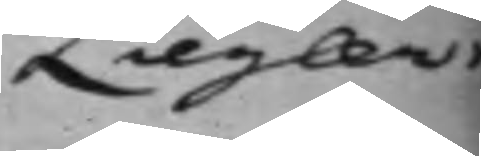Ziegler.
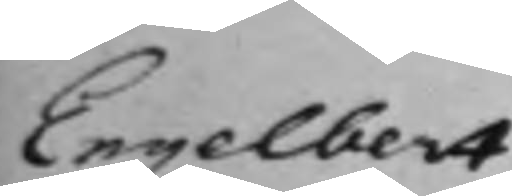Engelbert
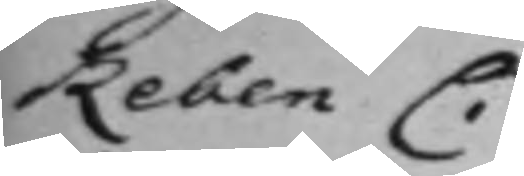Reben C.
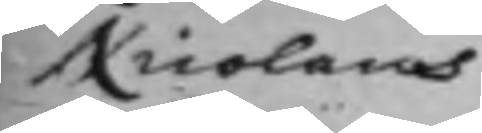Nicolaus
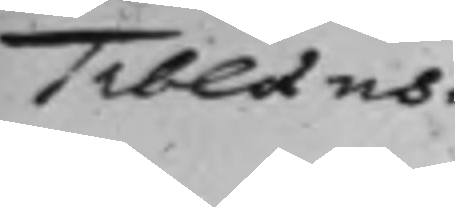Tiblaeus.
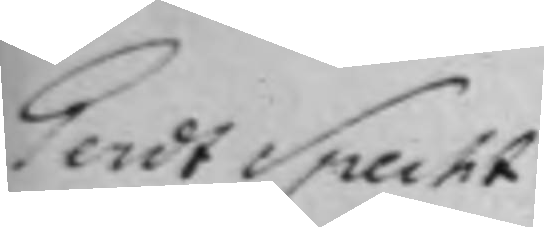Gerdt Specht
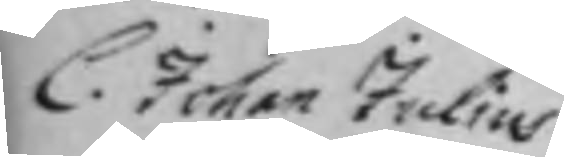C. Johan Julius
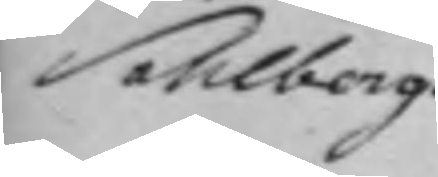Sahlberg.
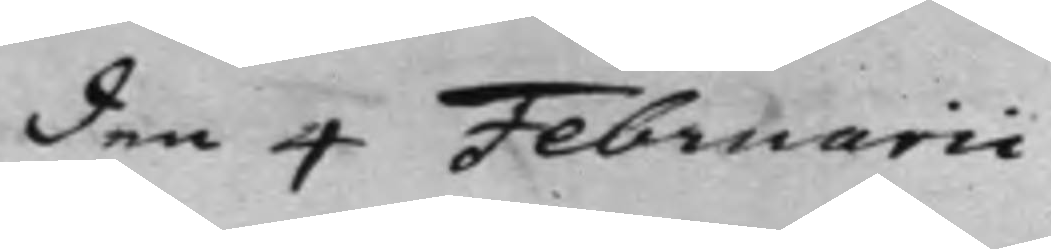den 4 Februarii
